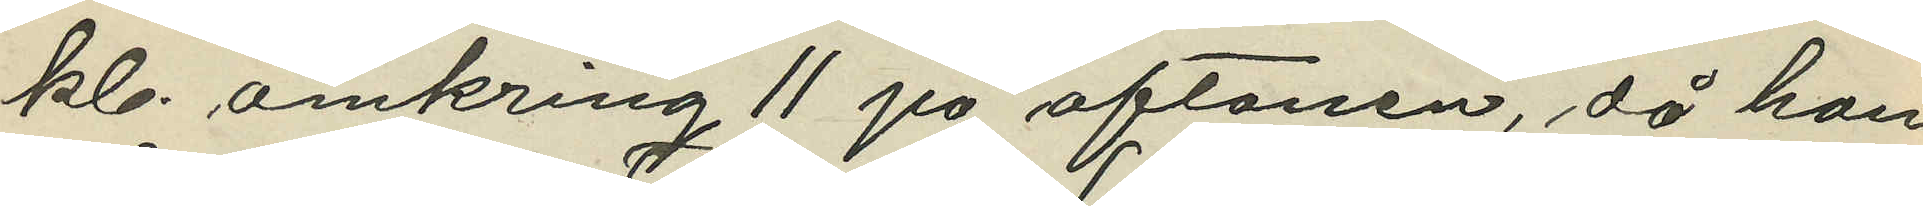kl. omkring 11 på aftonen, då han
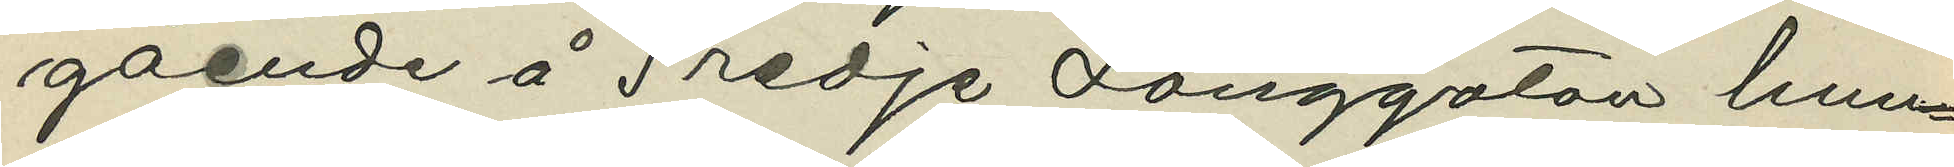gående å Tredje Långgatan hun¬
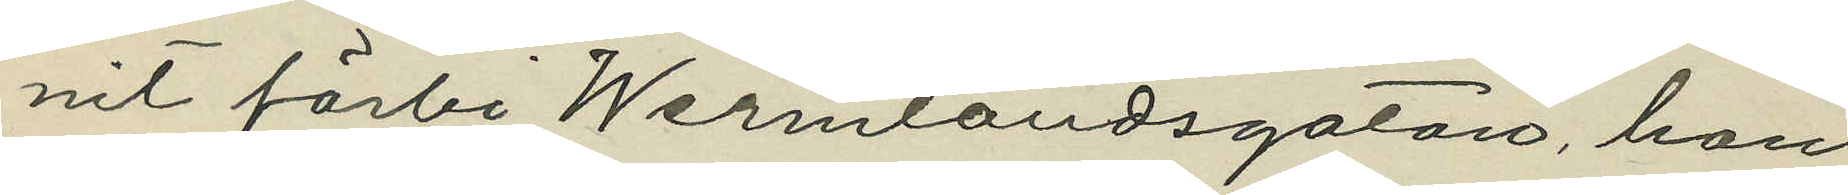nit förbi Wermlandsgatan, han
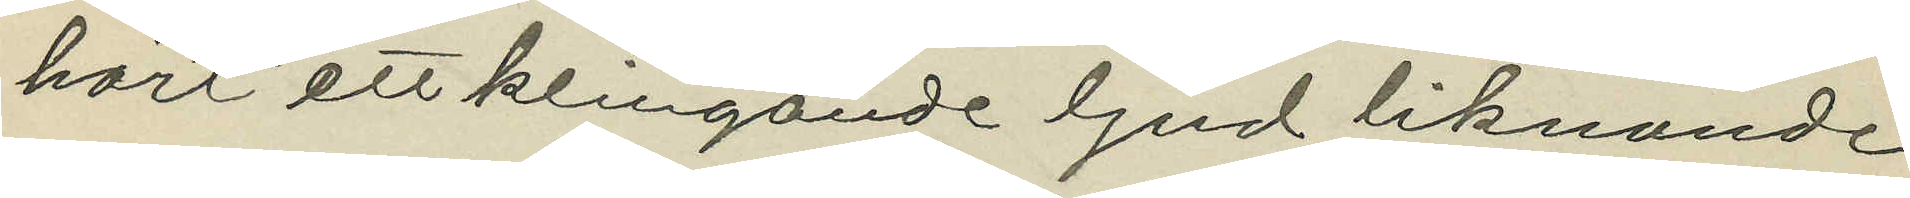hört ett klingande ljud liknande
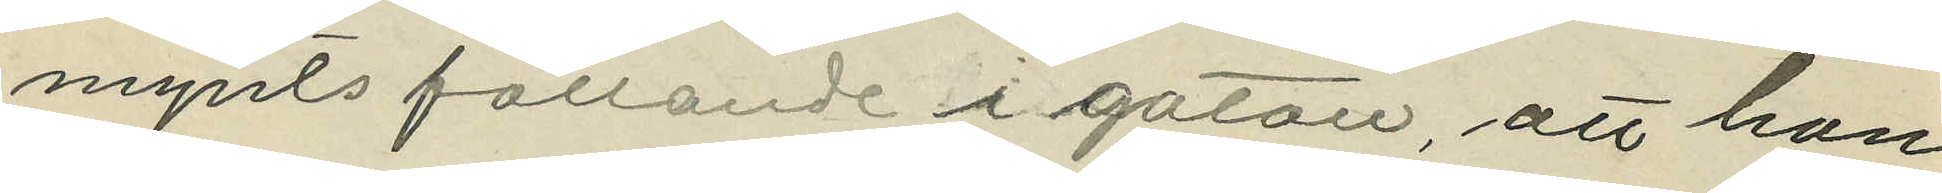mynts fallande i gatan, att han
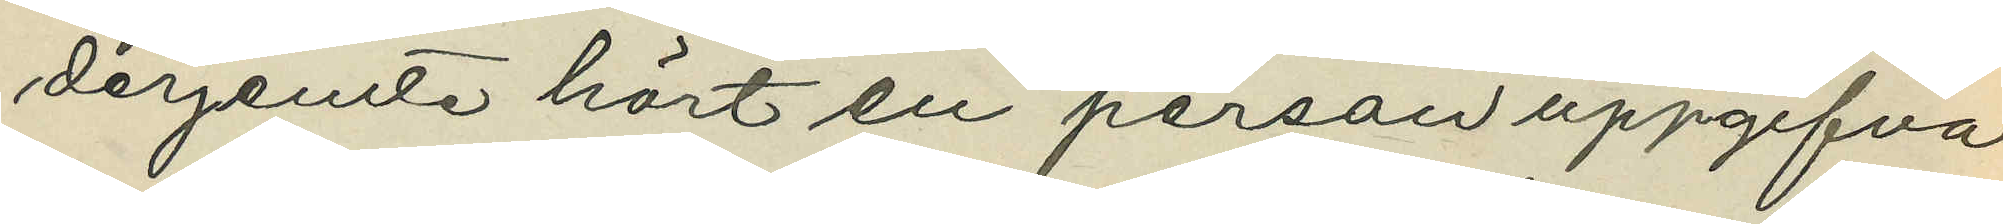derjemte hört en person uppgifva
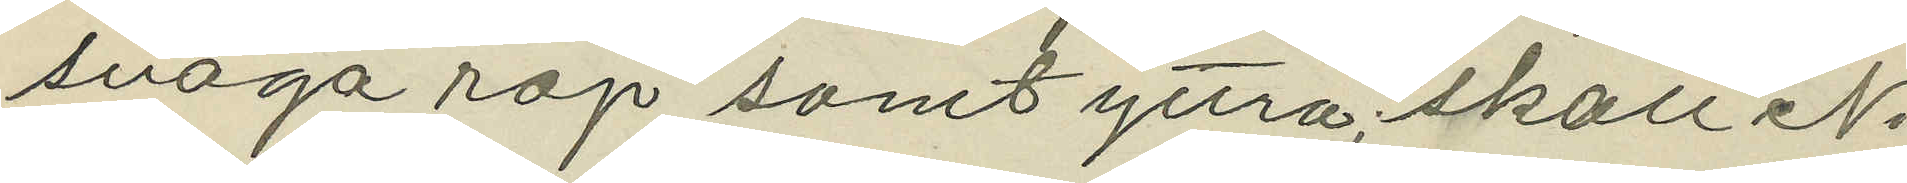svaga rop samt yttra; "skall Ni
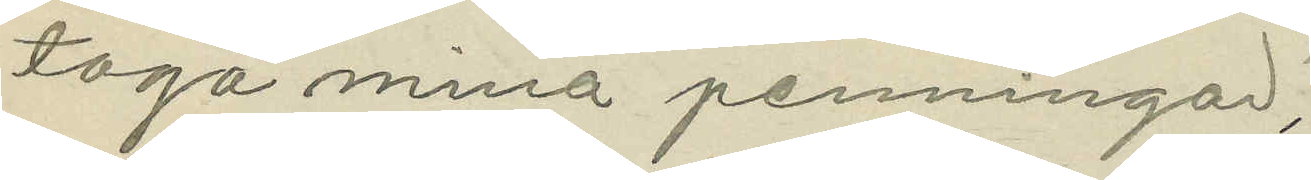taga mina penningar";
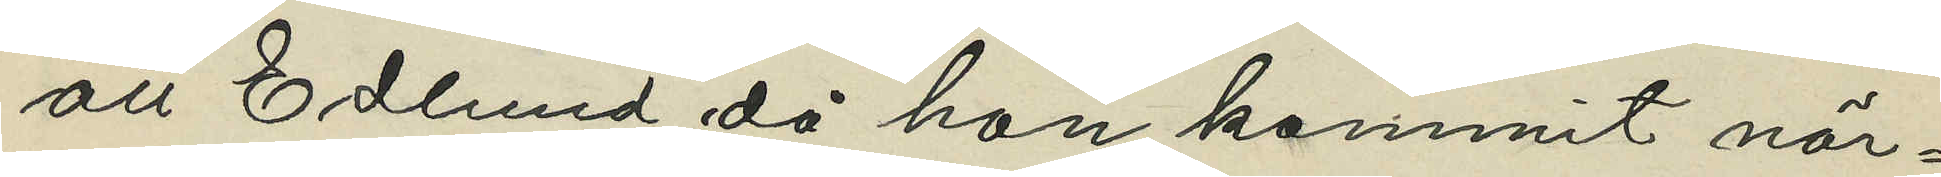att Edlund då han kommit när¬
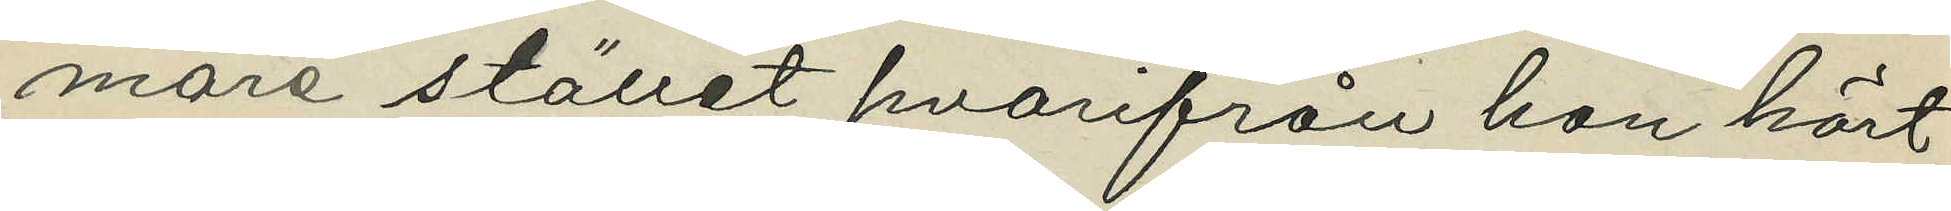mare stället hvarifrån han hört
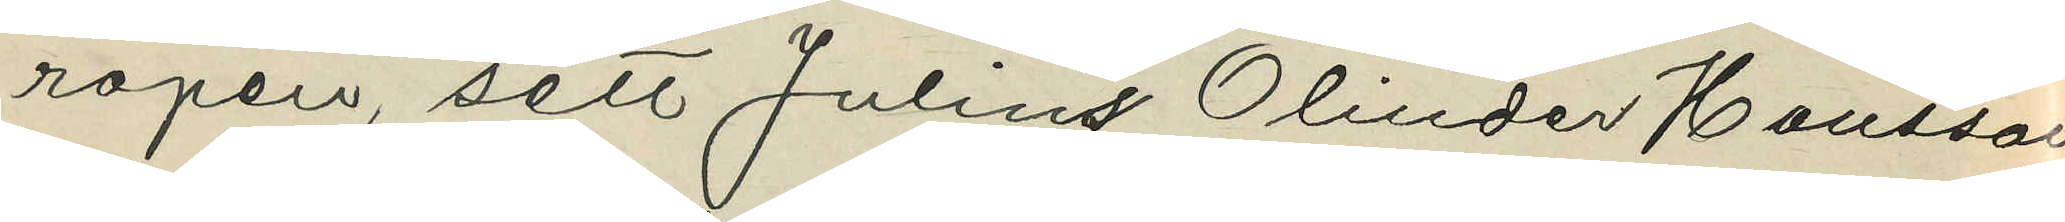ropen, sett Julius Olinder Hansson
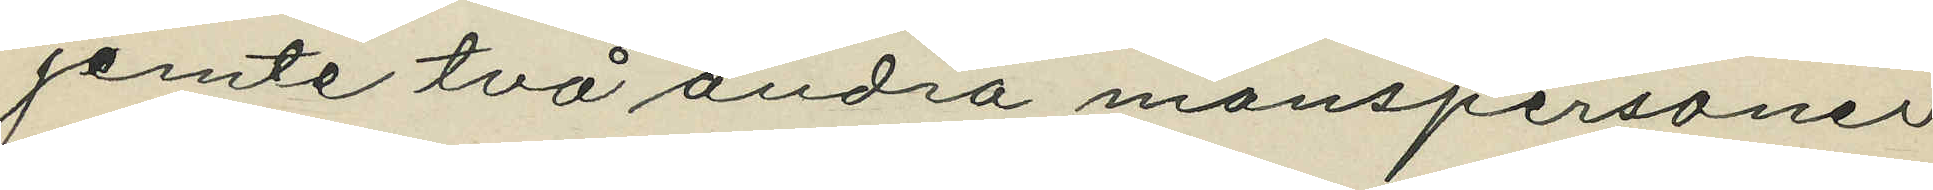jemte två andra manspersoner
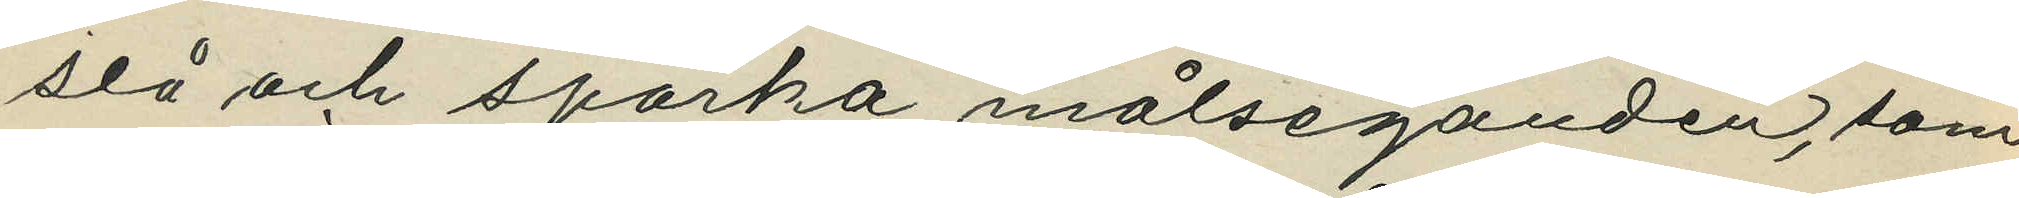slå och sparka målseganden, som
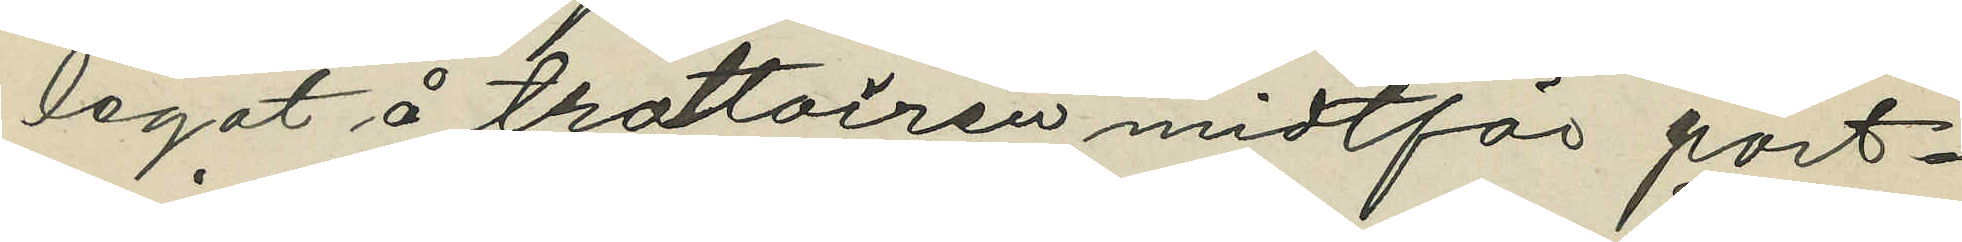legat å trottoiren midtför port¬
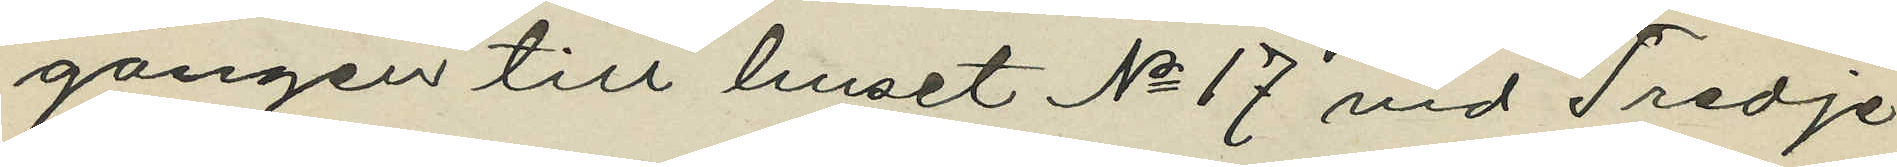gången till huset No 17 vid Tredje
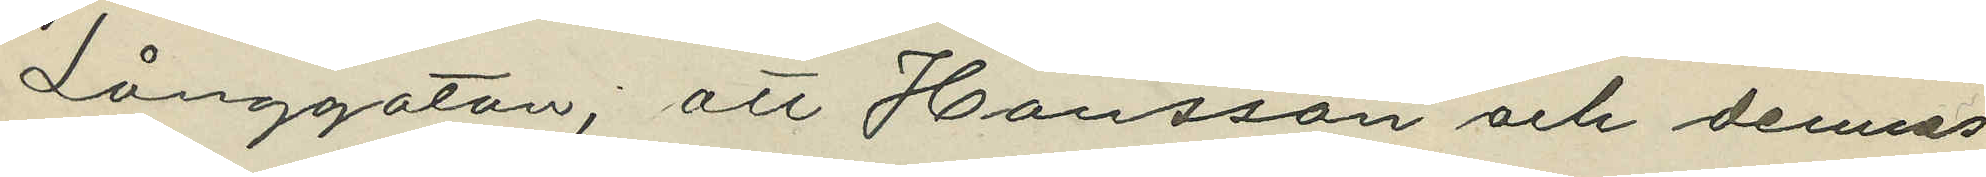Långgatan, att Hansson och dennes
